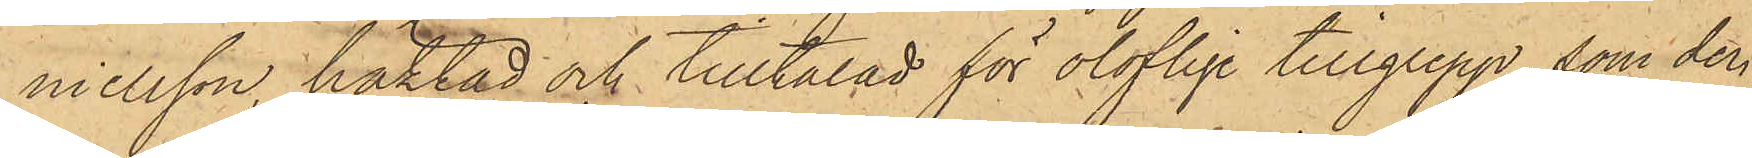nielsson, häktad och tilltalad för oloflige tillgrepp, som den
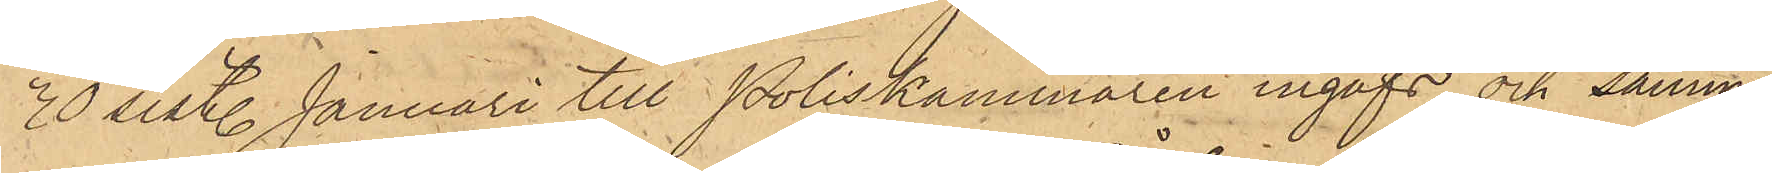30 sist. Januari till Poliskammaren ingafs och samma
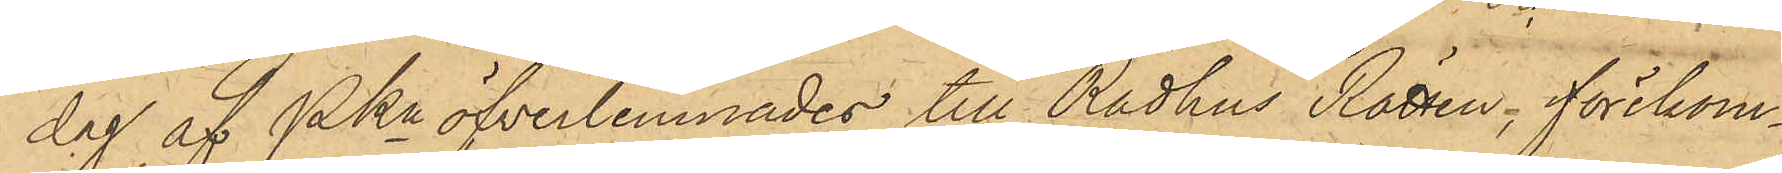dag af PKn öfverlemnades till Rådhus Rätten, förekom¬
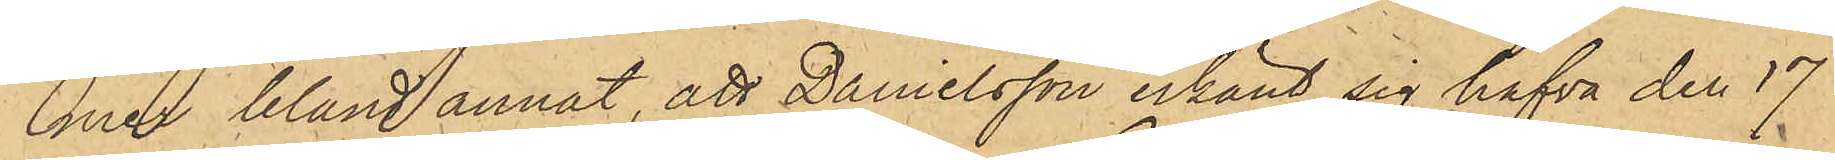mer bland annat, att Danielsson erkänt sig hafva den 17
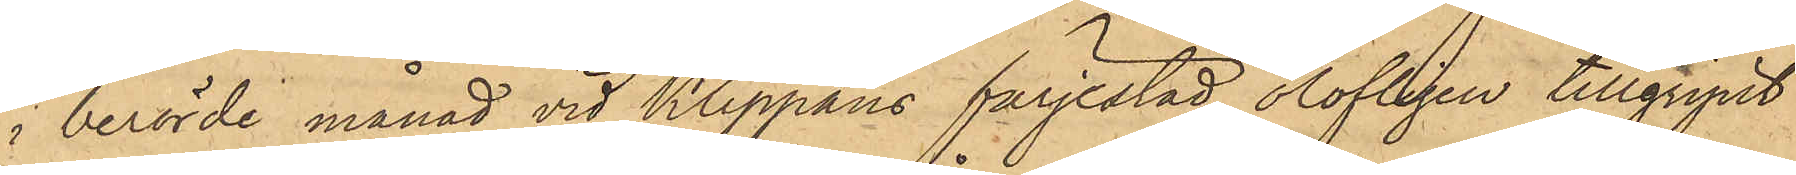i berörde månad vid Klippans färjestad olofligen tillgripit
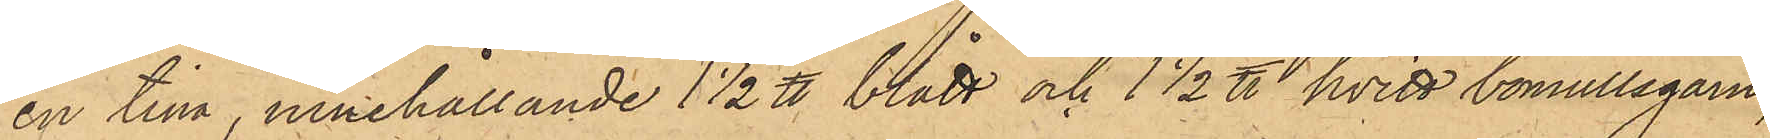en tina, innehållande 1 1/2 ℔ blått och 1 1/2 ℔ hvitt bomullsgarn,
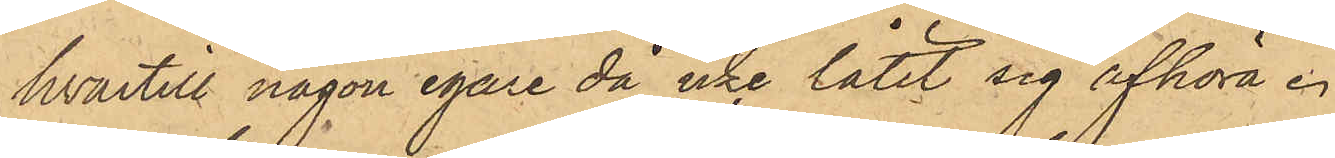hvartill någon egare då icke låtit sig afhöra.
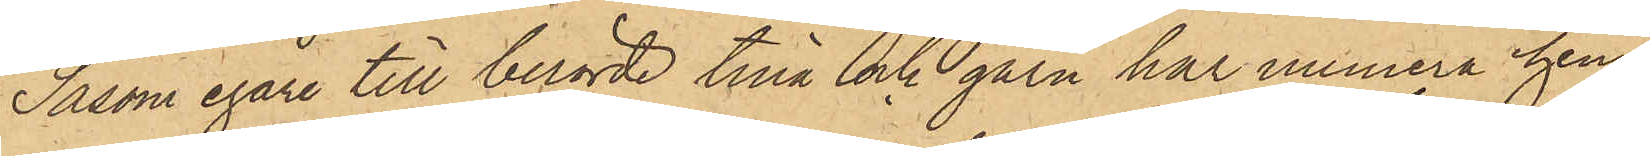Såsom egare till berörde tina och garn har numera hem¬
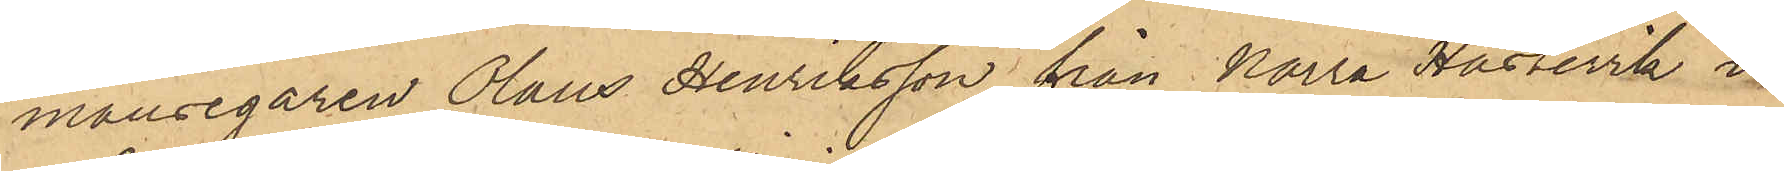mansegaren Olaus Henriksson från Norra Hästevik i
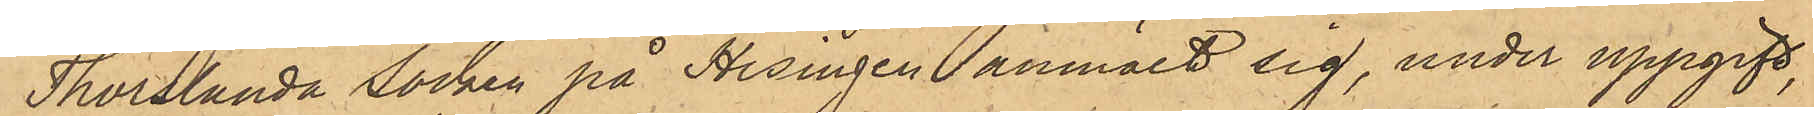Thorslanda socken på Hisingen anmält sig, under uppgift,
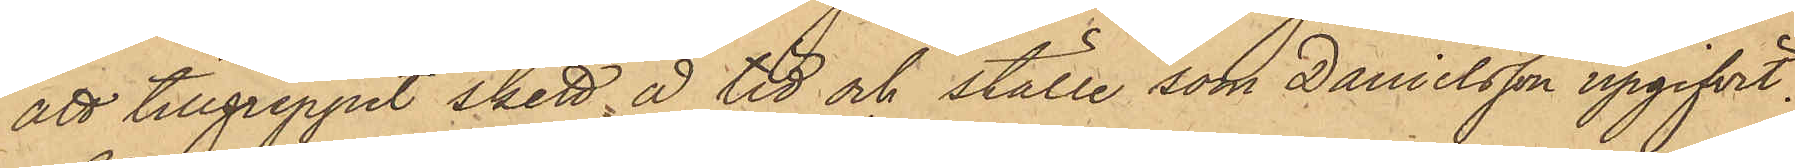att tillgreppet skett å tid och ställe som Danielsson upgifvit.
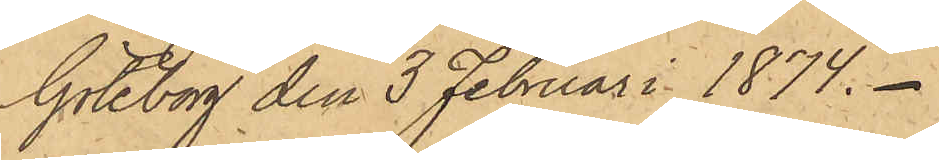Göteborg den 3 Februari 1874.
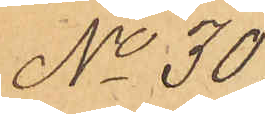No 30
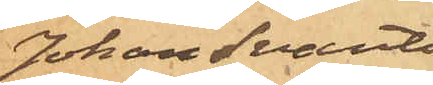Johan Svante
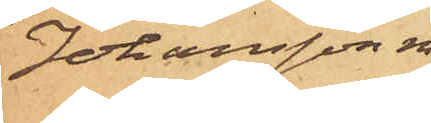Johansson m fl.
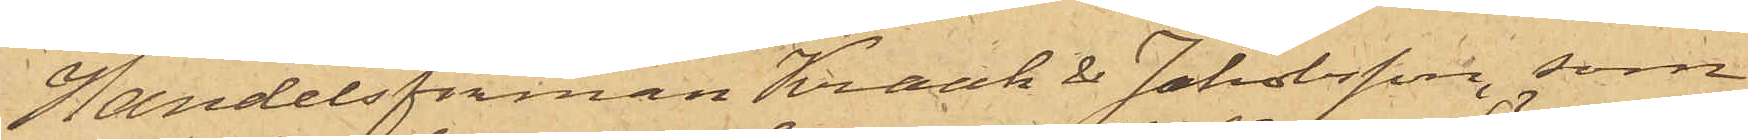Handelsfirman Kraak & Jakobsson, som
